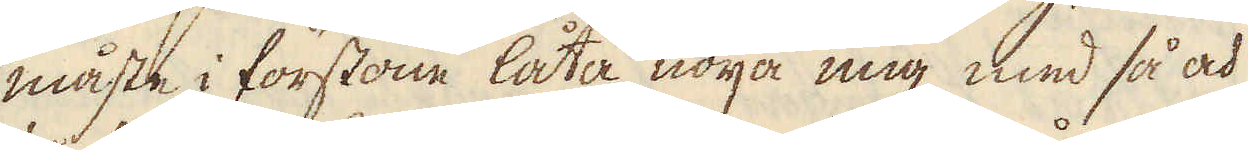måste i förstone låta nöija mig med så och
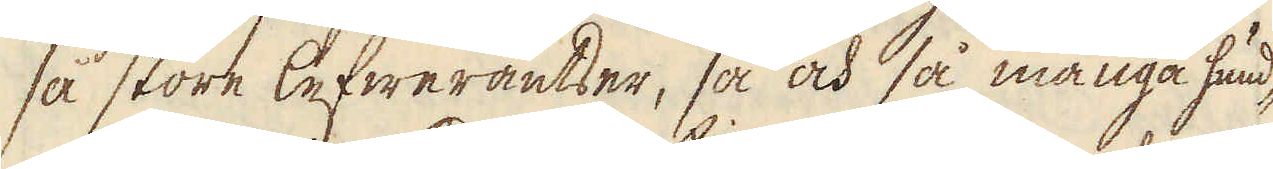så store lefwerantser, så och så många hund-
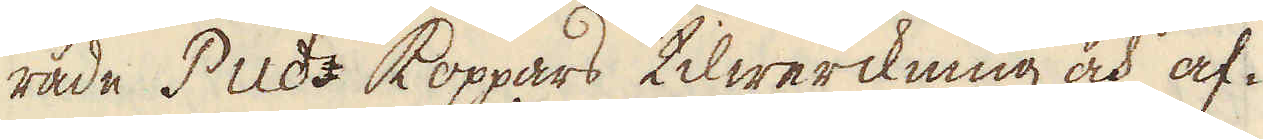rade Puds koppars tilwerckning och af-
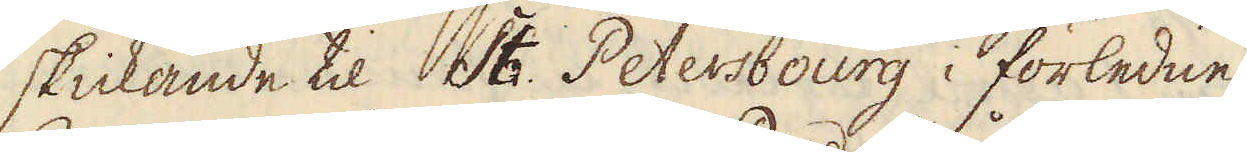skickande til St. Petersbourg i förledne
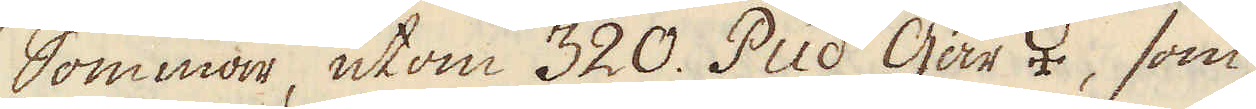Sommar, utom 320. Pud Går ♀, som
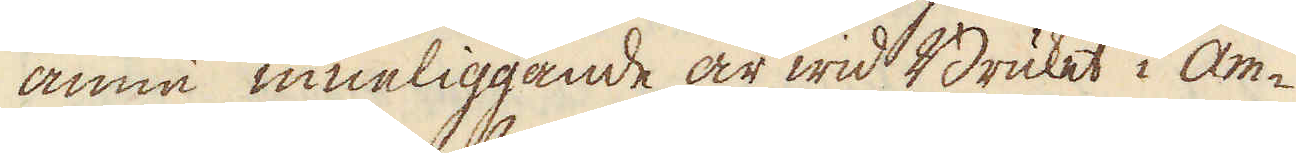ännu inneliggande är wid Bruket i Am-
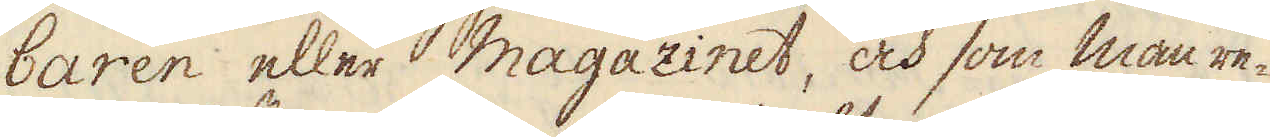baren eller magazinet, och som man re-
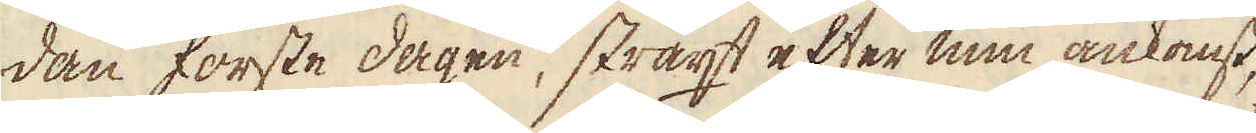dan förste dagen, straxt efter min ankomst,
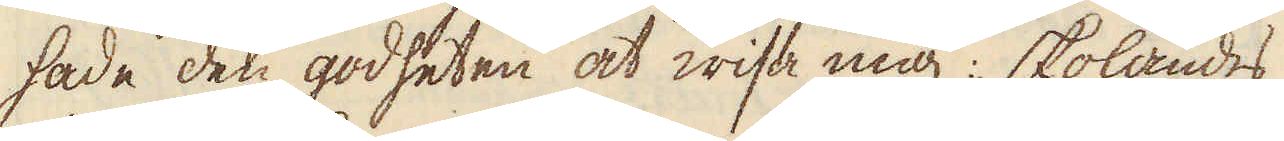hade den godheten at wisa mig: skolandes
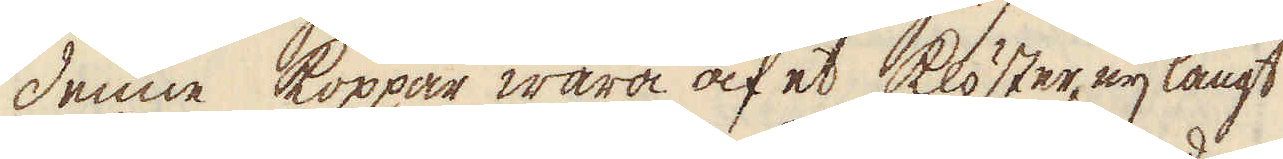denne koppar wara af et klöster eij långt
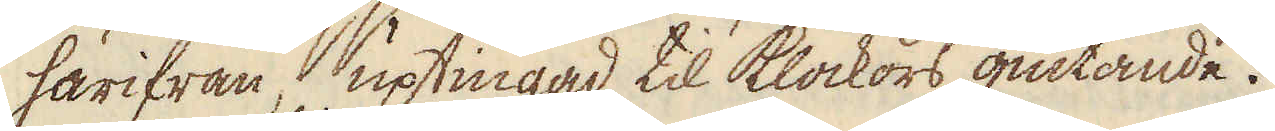härifrån, uptingad til Klockors giutande.
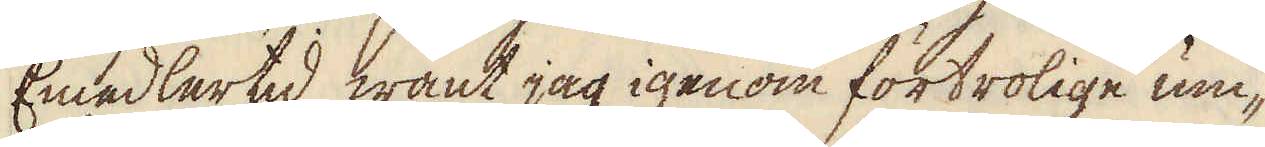Emedlertid want jag igenom förtrolige um-
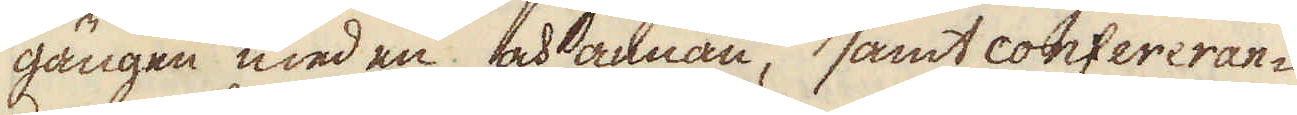gängen med en och annan, samt confereran-
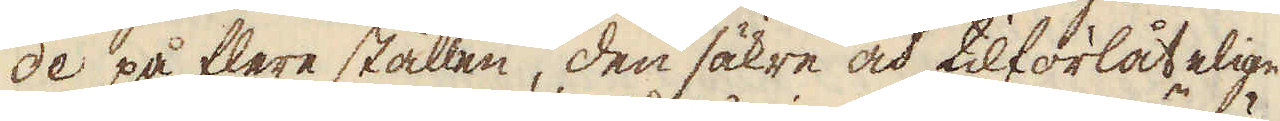de på flere stållen, den säkre och tilförlåtelige
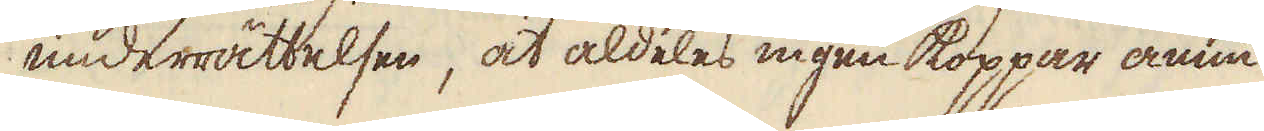underrättelsen, at aldeles ingen koppar ännu
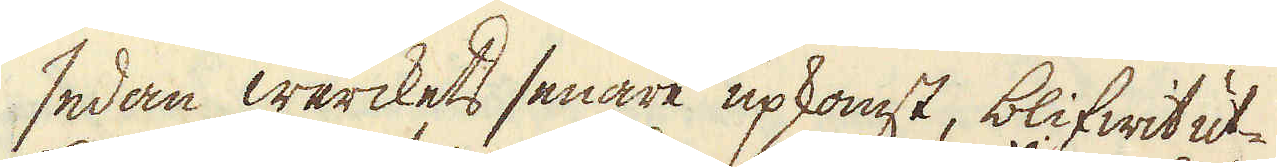sedan werckets senare upkomst, blifwit ut-
